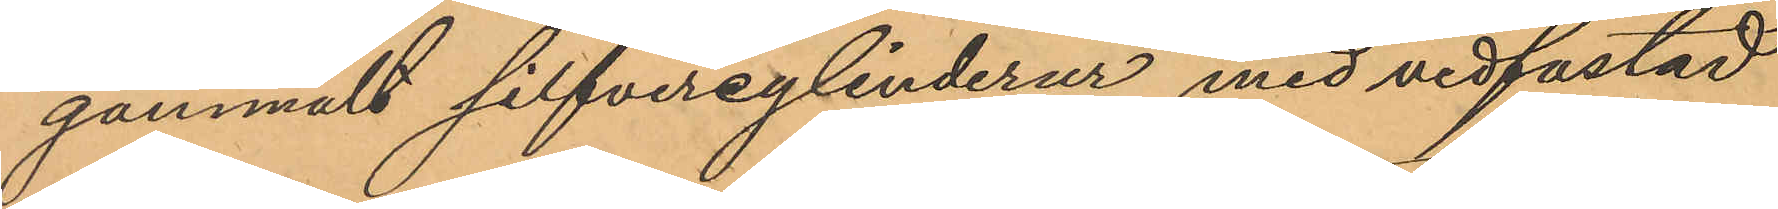gammalt silfvercylinderur med vidfästad
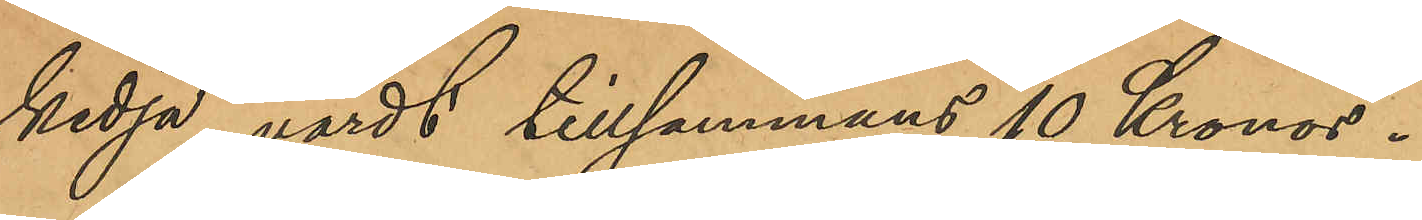kedja, värdt tillsammans 10 Kronor.
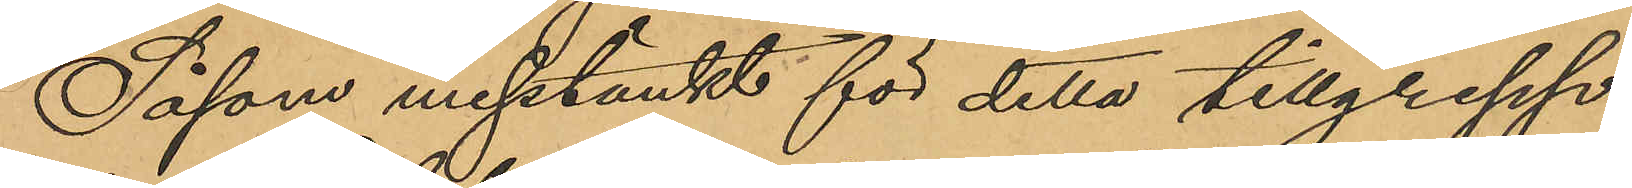Såsom misstänkt för detta tillgrepp
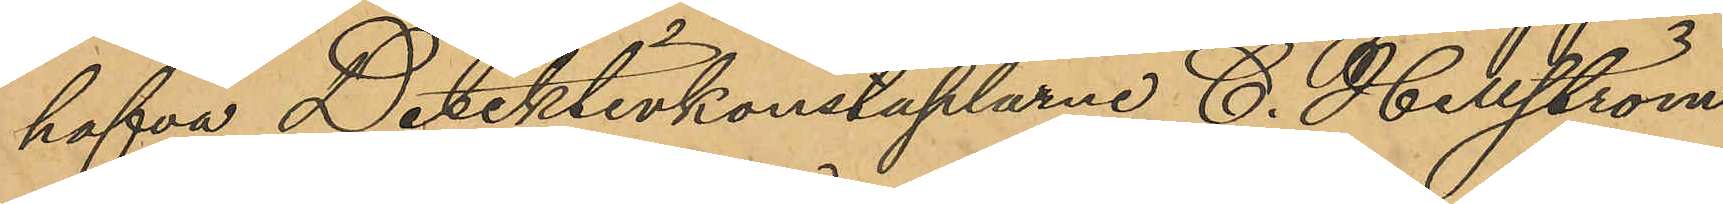hafva Detektivkonstaplarne C. Hellström
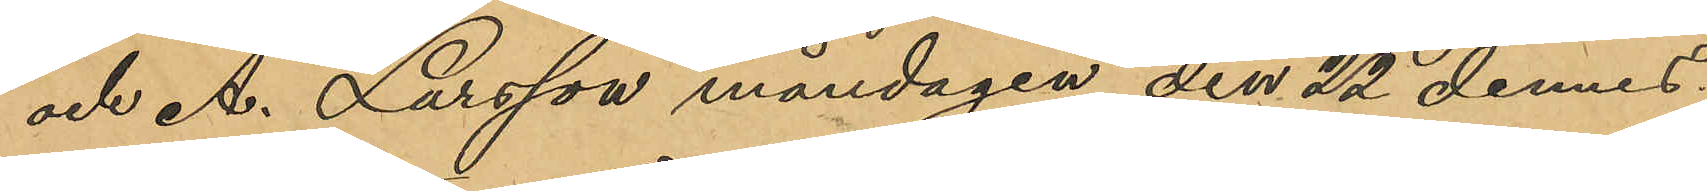och A. Larsson måndagen den 22 dennes
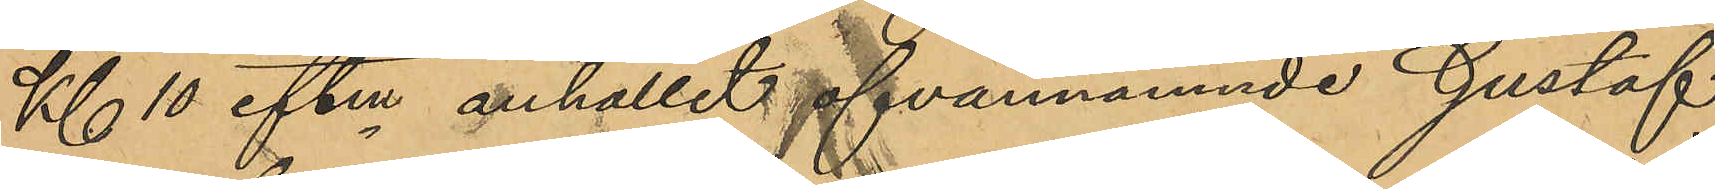Kl 10 eftm anhållit ofvannämnde Gustaf
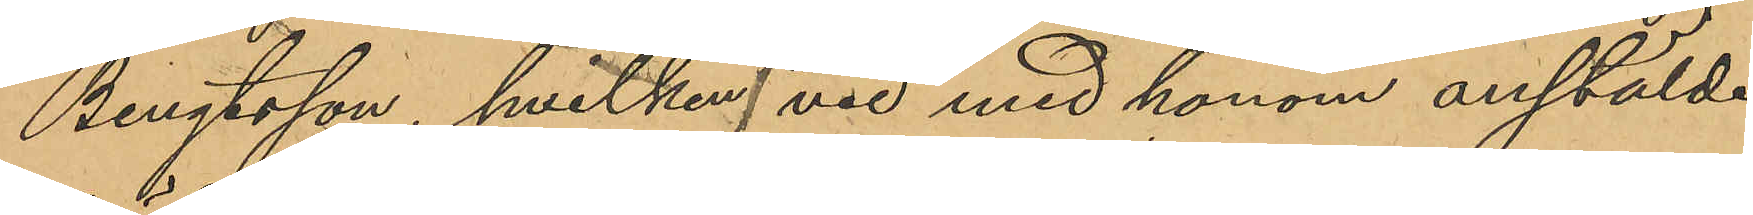Bengtsson, hvilken vid med honom anstäldt
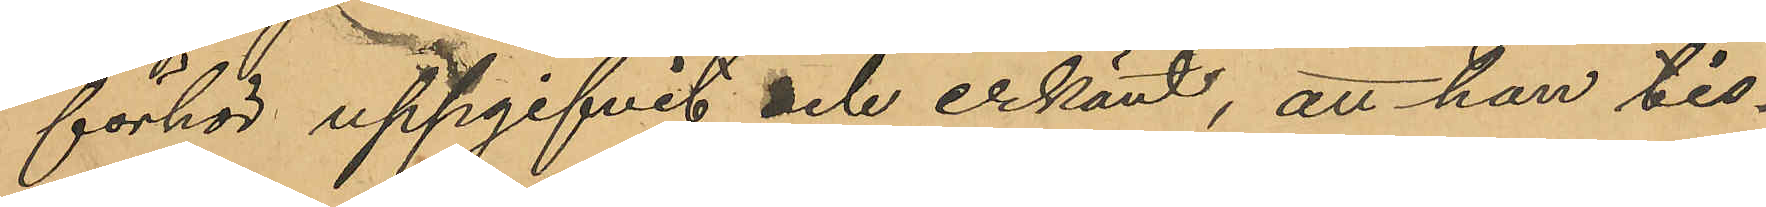förhör uppgifvit och erkänt, att han tis¬
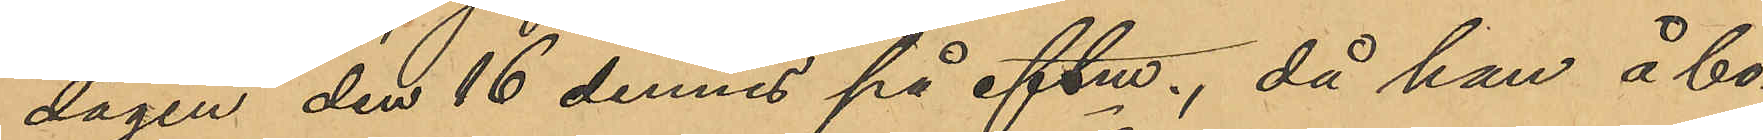dagen den 16 dennes på eftm, då han å bo¬
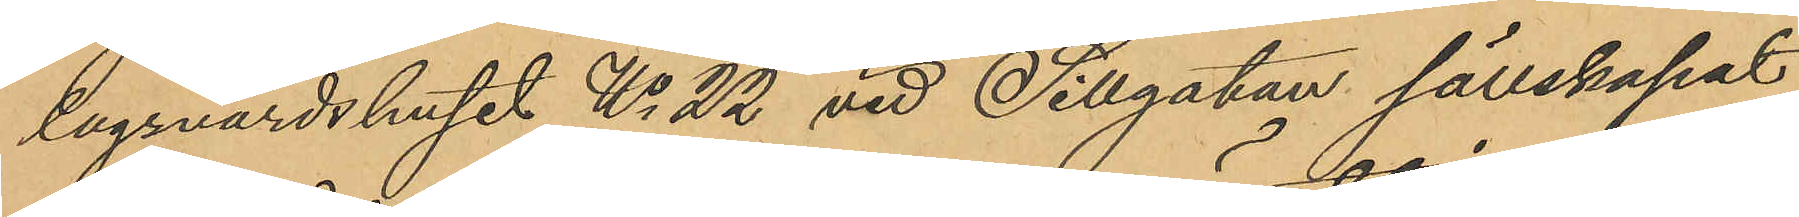lagsvärdshuset No 22 vid Sillgatan sällskapat
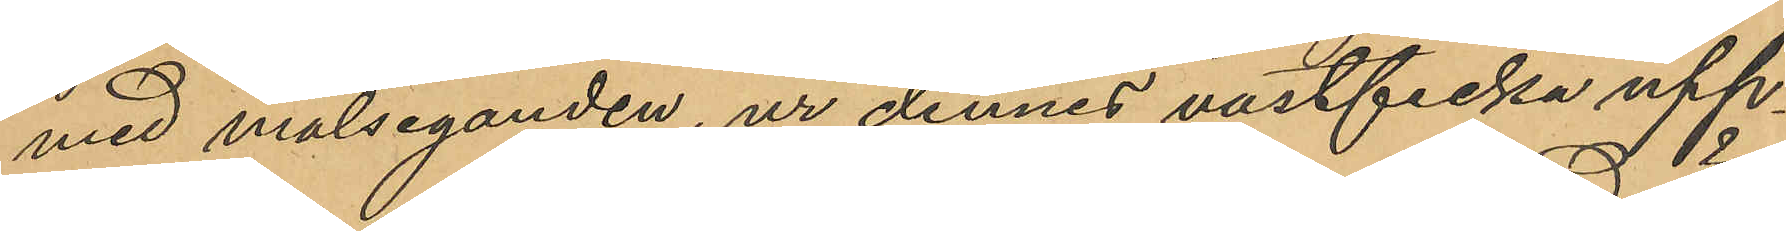med målseganden, ur dennes västficka upp¬
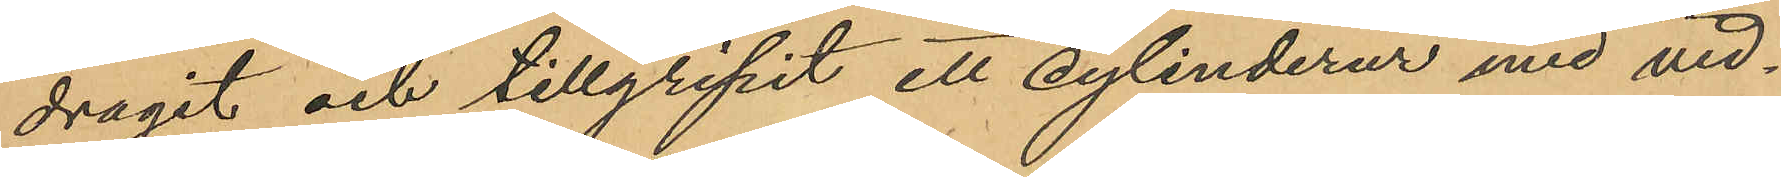dragit och tillgripit ett cylinderur med vid¬
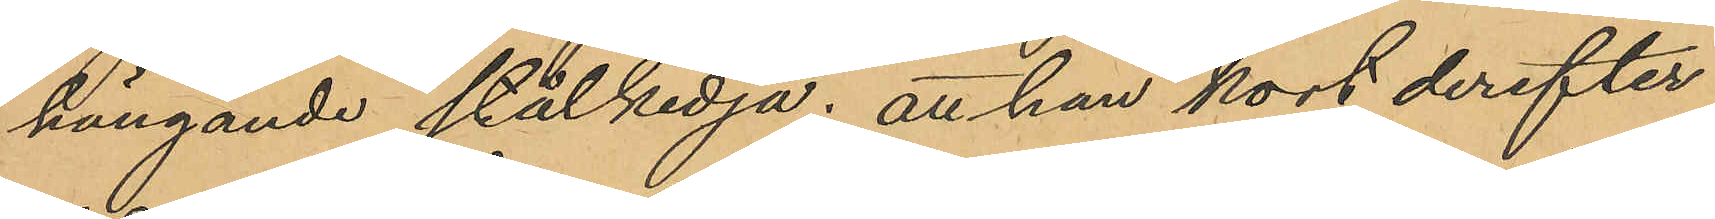hängande stålkedja; att han kort derefter,
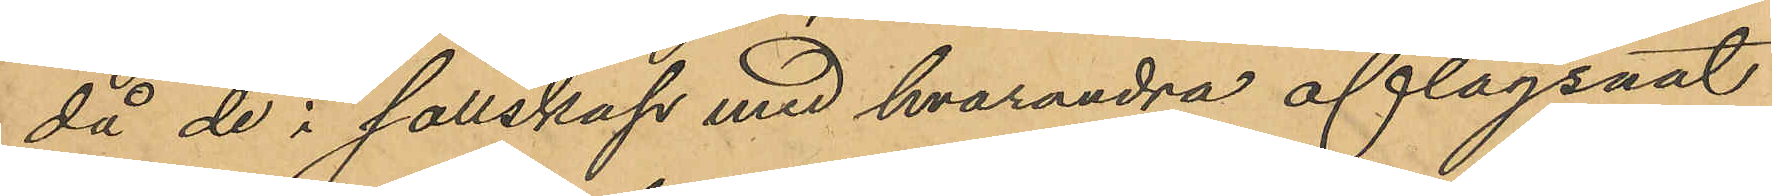då de i sällskap med hvarandra aflägsnat
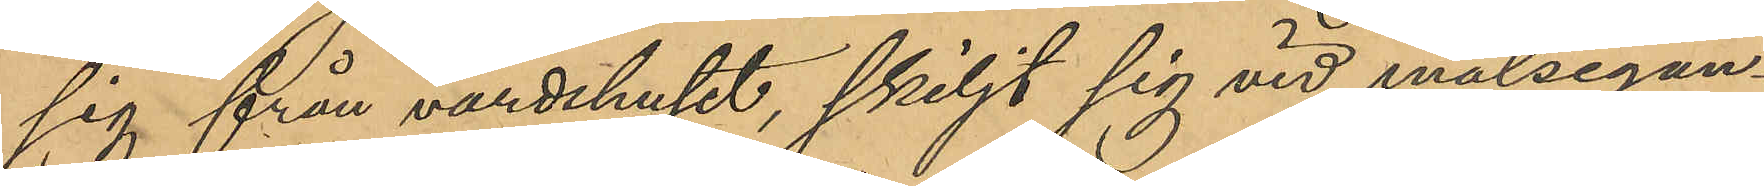sig från värdshuset, skiljt sig vid målsegan¬
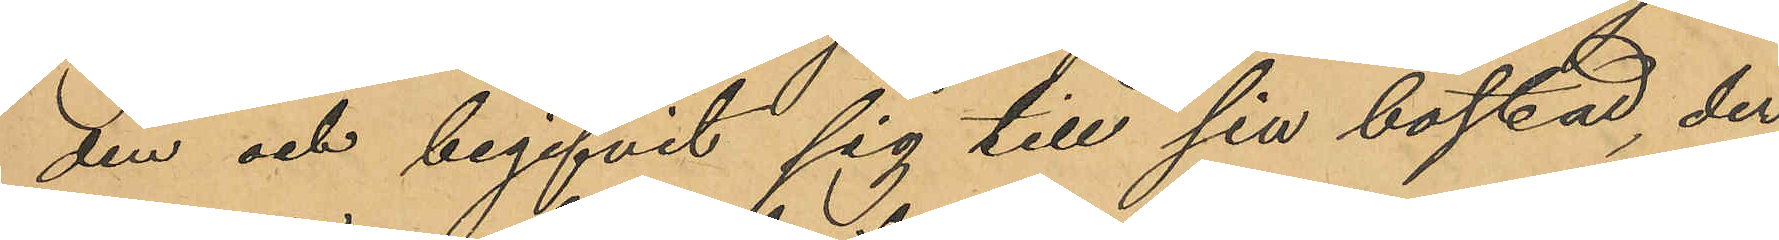den och begifvit sig till sin bostad, der
